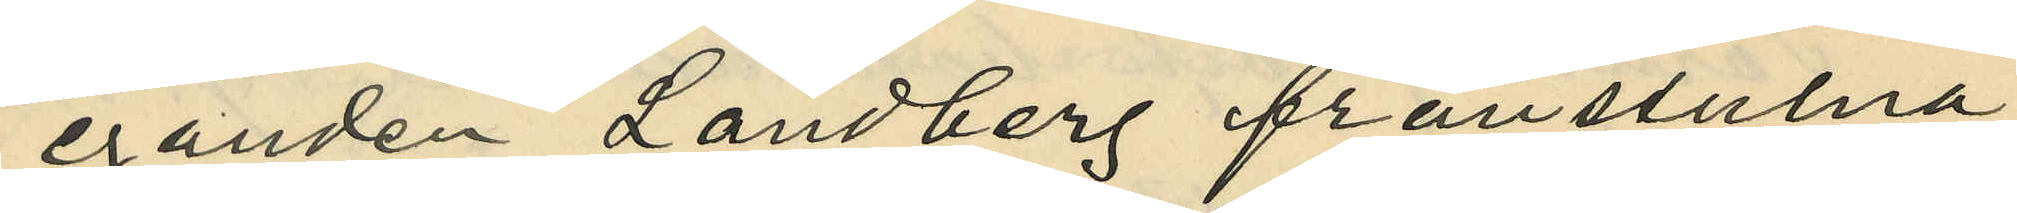eganden Landberg frånstulna
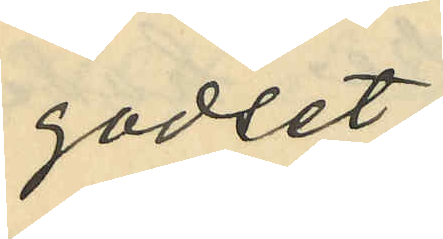godset;
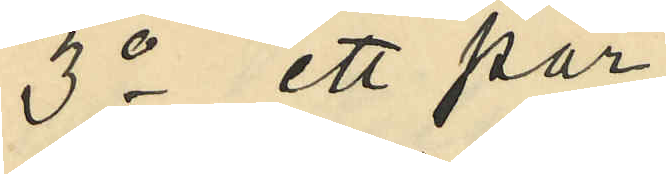3o ett par
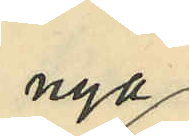nya
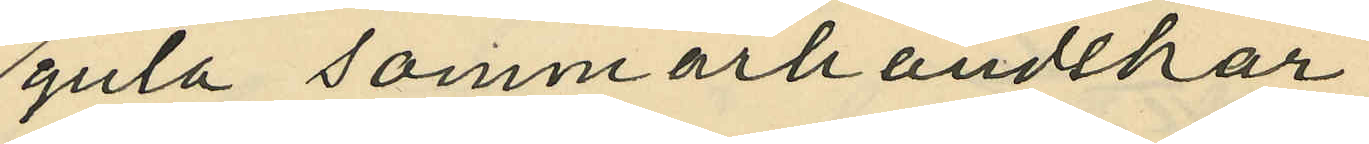gula sommarhandskar,
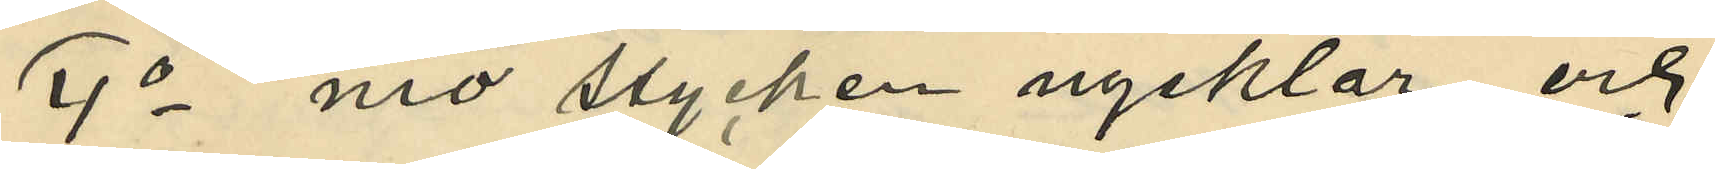4o nio stycken nycklar, och
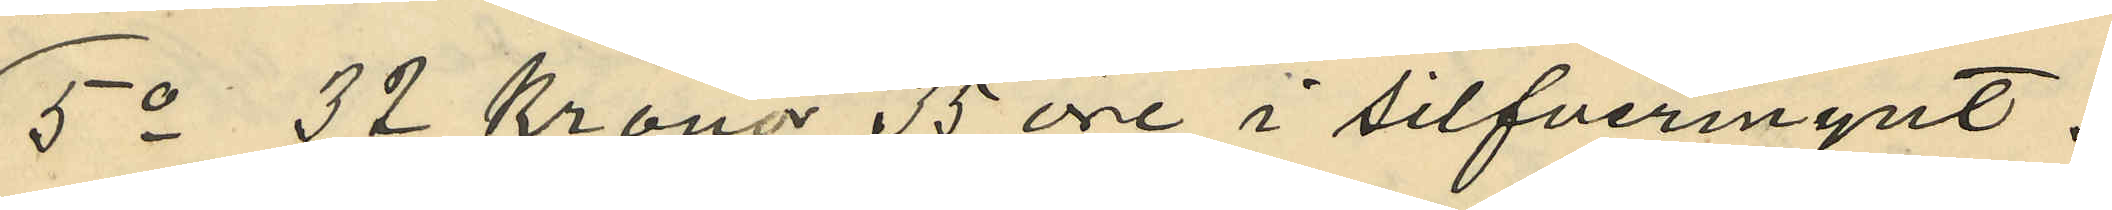5o 32 Kronor 35 öre i silfvermynt.
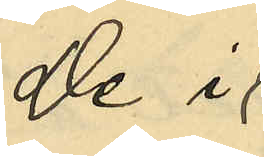De i
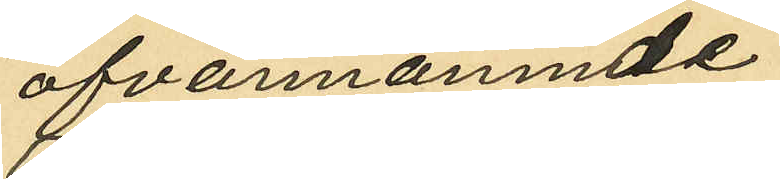ofvannämnde
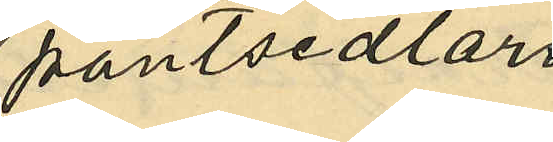pantsedlar
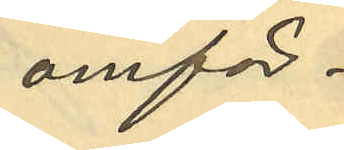omför¬
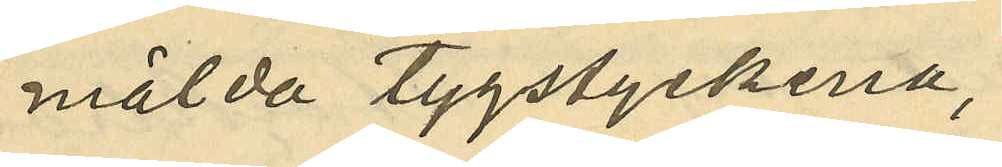mälda tygstyckena,
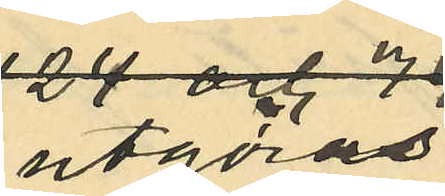utgöras,
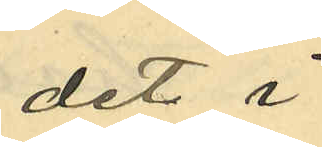det i
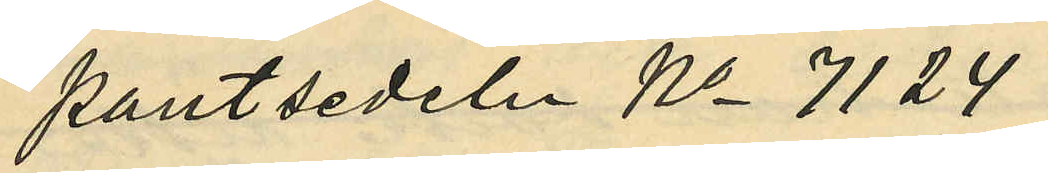pantsedeln No 7124
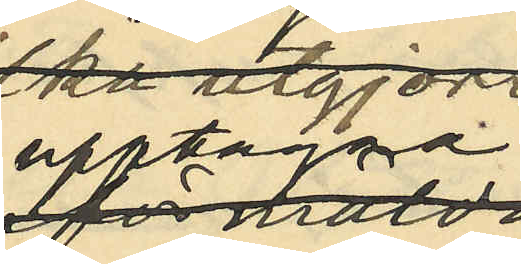upptagna
